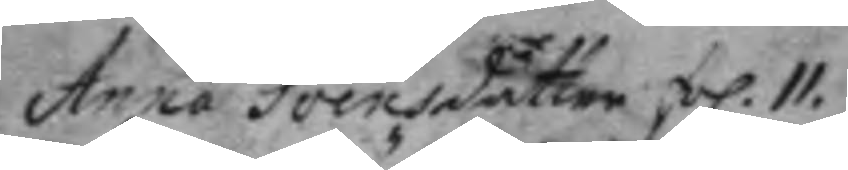Anna Svensdotter, fol. 11.
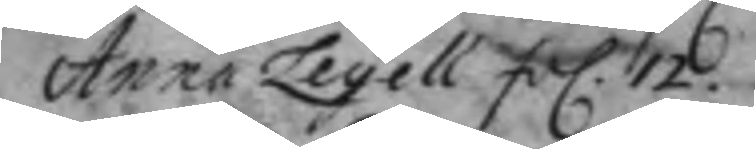Anna Leyell fol. 12.
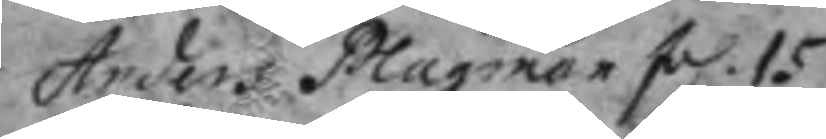Anders Plagman fol. 15
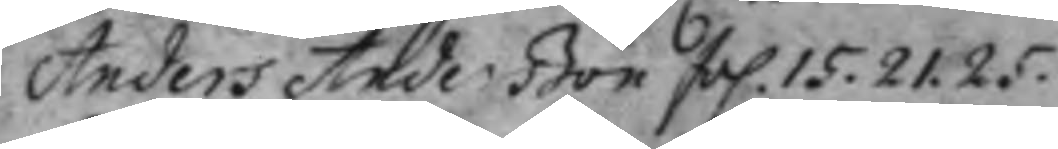Anders Anderßon fol. 15. 21. 25.
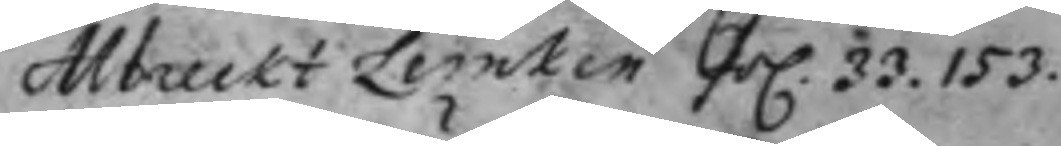Albreckt Lemken fol. 33. 153.
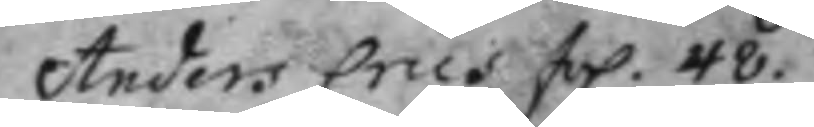Anders Crus fol. 48.
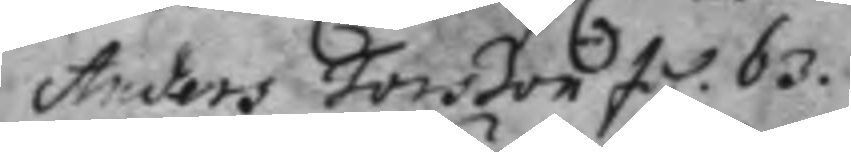Anders Jonson fol. 63.
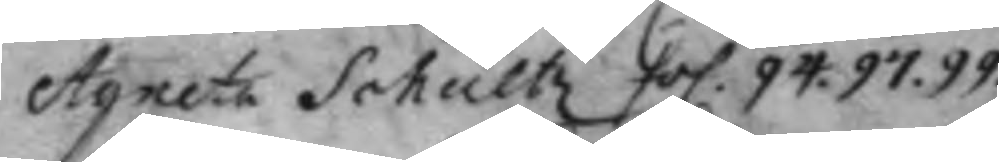Agneta Schultz fol 94. 97. 99.
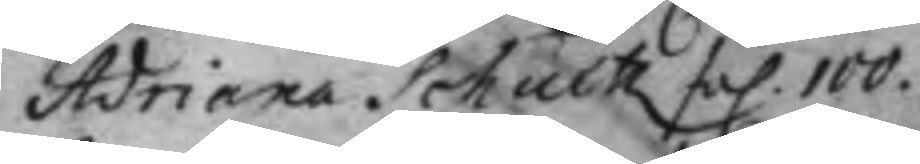Adriana Schultz fol 100.
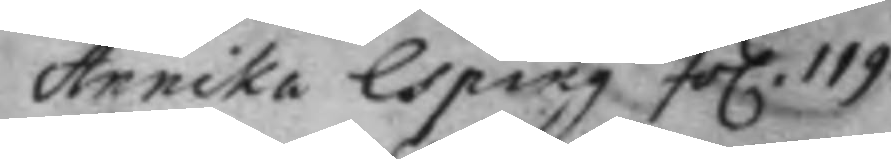Annika Esping fol. 119.
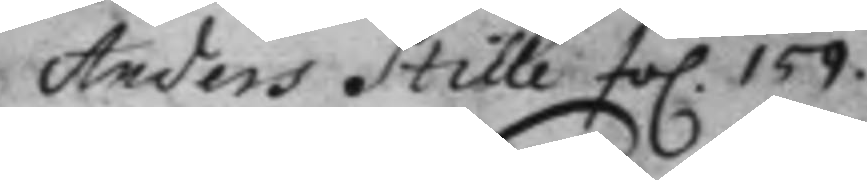Anders Stille fol. 159.
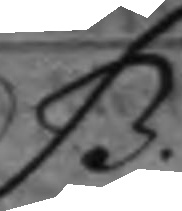B.
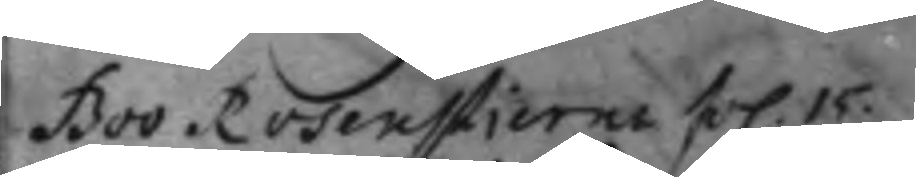Boo Rosenstierna fol. 15.
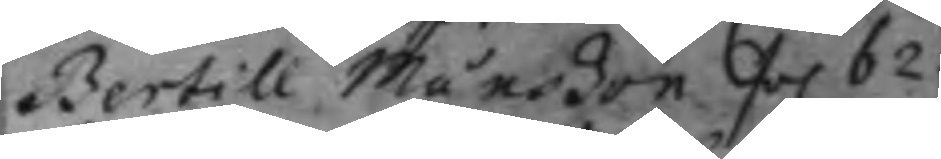Bertill Månßon fol 62.
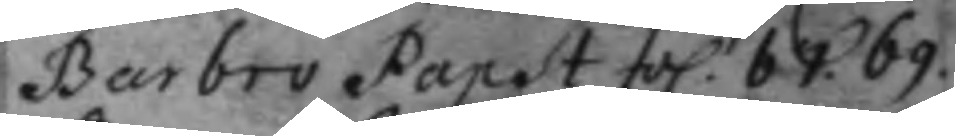Barbro Papst fol 67. 69.
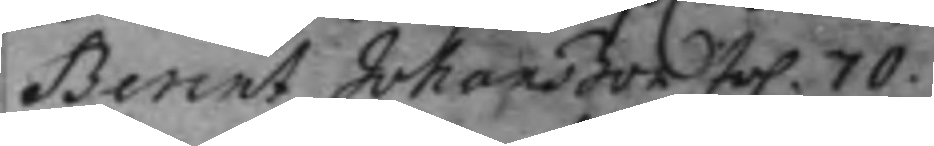Benrt Johanßon fol. 70.
